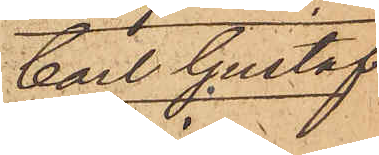Carl Gustaf
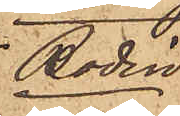Bodin
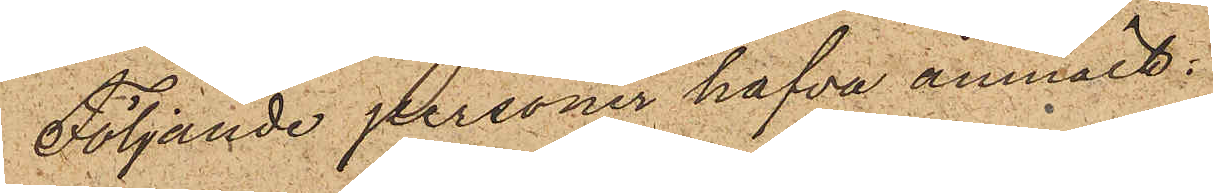Följande personer hafva anmält:
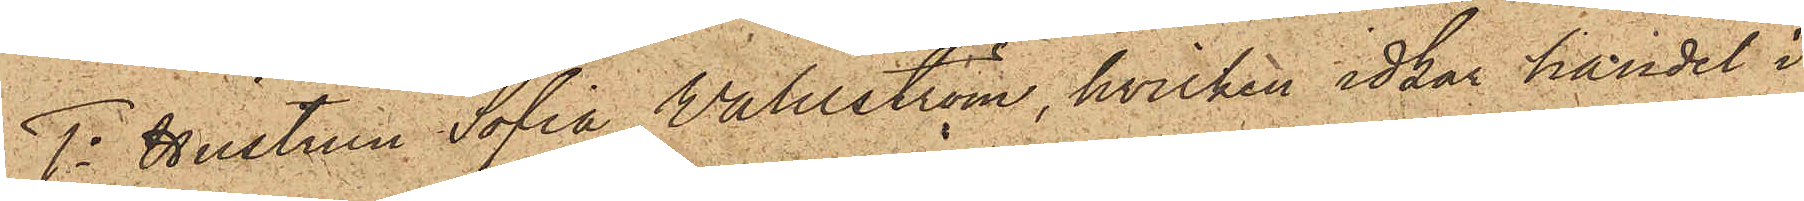1o Hustrun Sofia Wahlström, hvilken idkar handel i
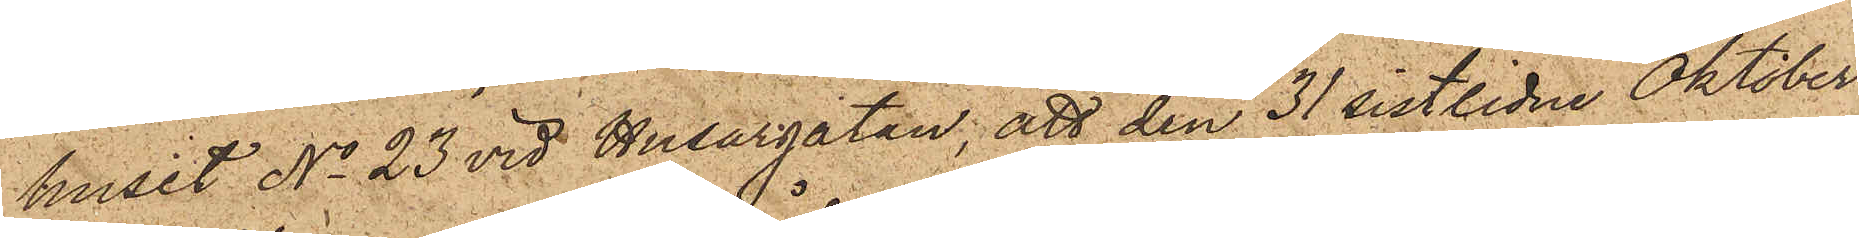huset No 23 vid Husargatan, att den 31 sistlidne Oktober
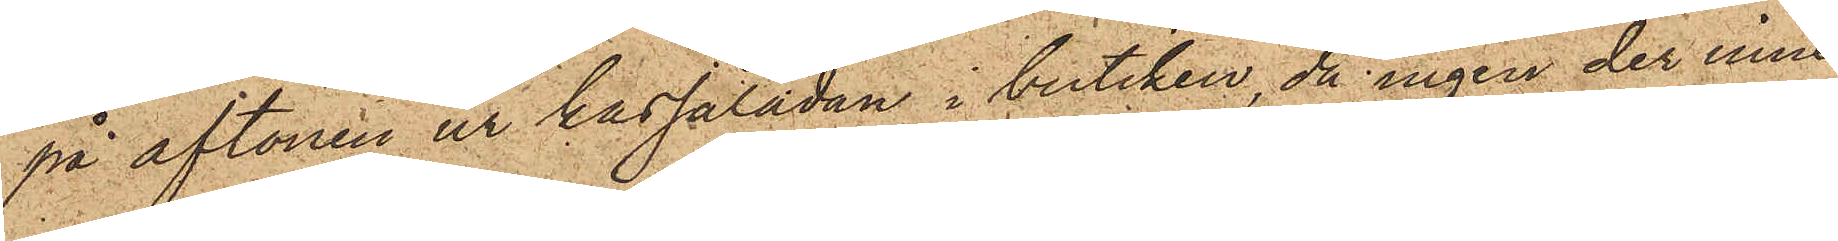på aftonen ur kassalådan i butiken, då ingen der inne¬
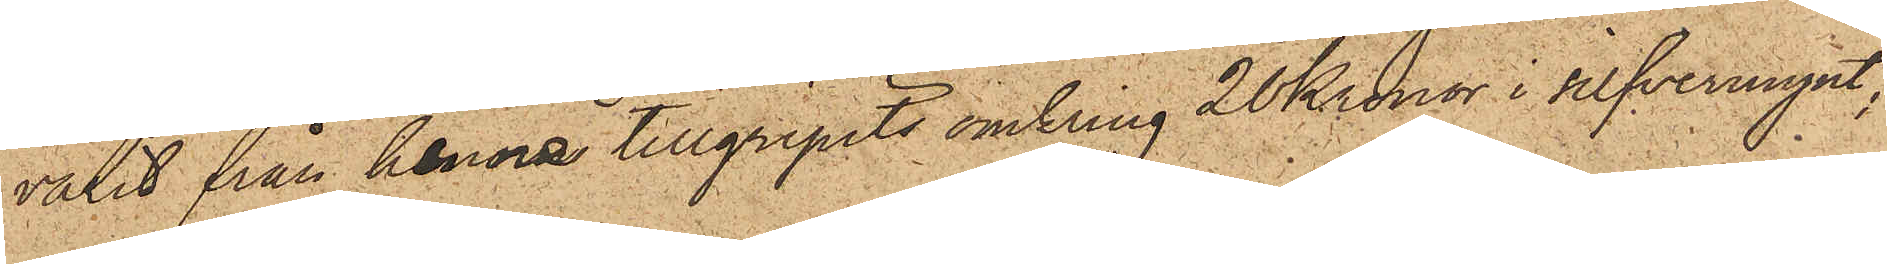varit från henne tillgripits omkring 20 Kronor i silfvermynt;
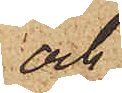och
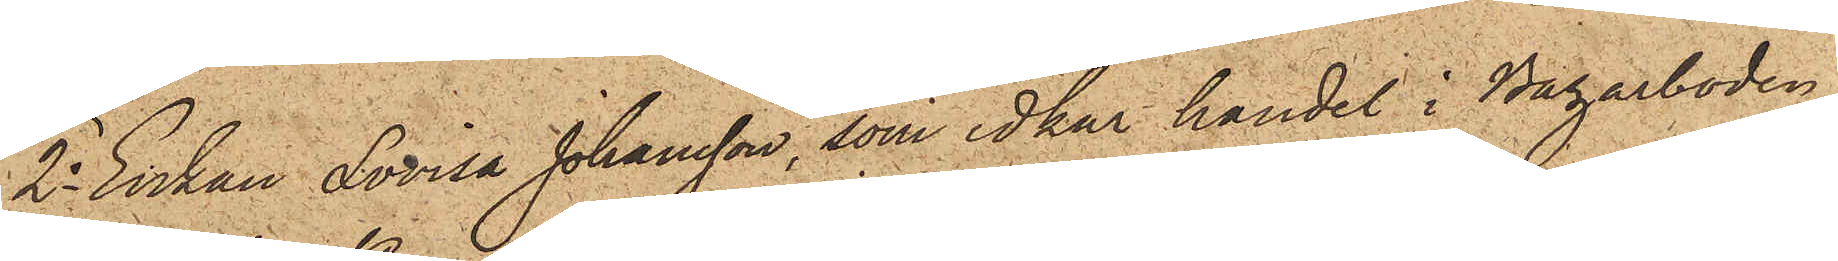2o Enkan Lovisa Johansson, som idkar handel i Bazarboden
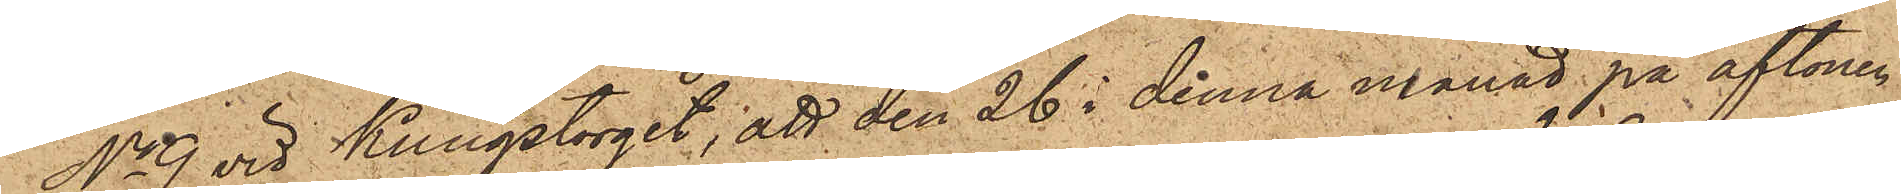No 9 vid Kungstorget; att den 26 i denna månad på aftonen
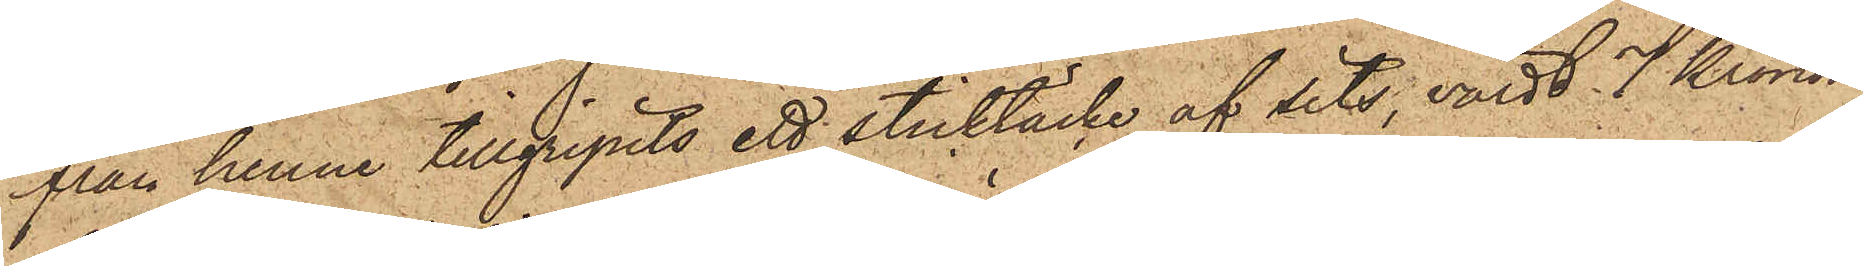från henne tillgripits ett sticktäcke af sits, värdt 7 Kronor,
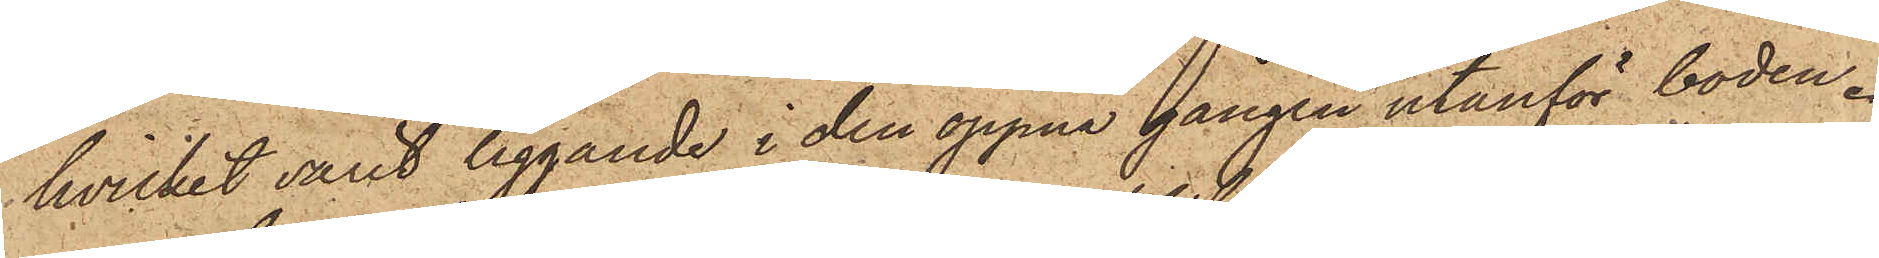hvilket varit liggande i den öppna gången utanför boden.
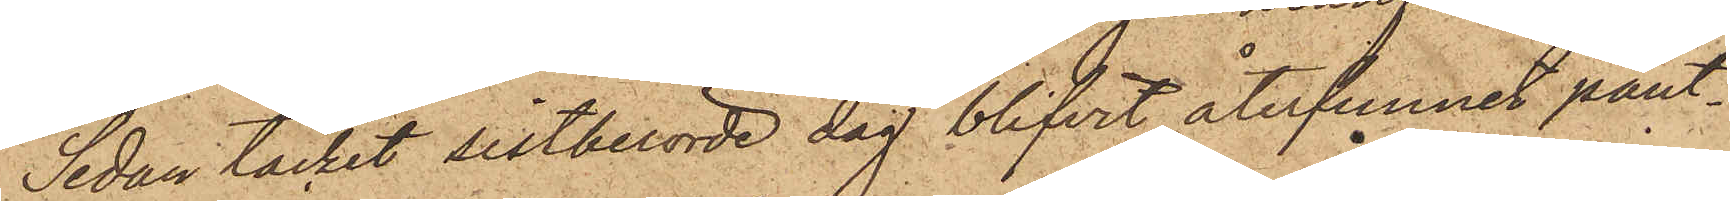Sedan täcket sistberörde dag blifvit återfunnit pant¬
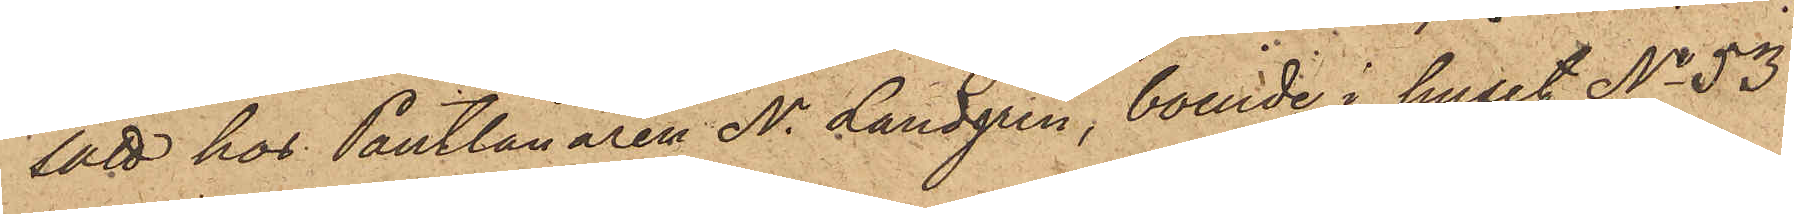satt hos Pantlånaren N. Landgren, boende i huset No 53
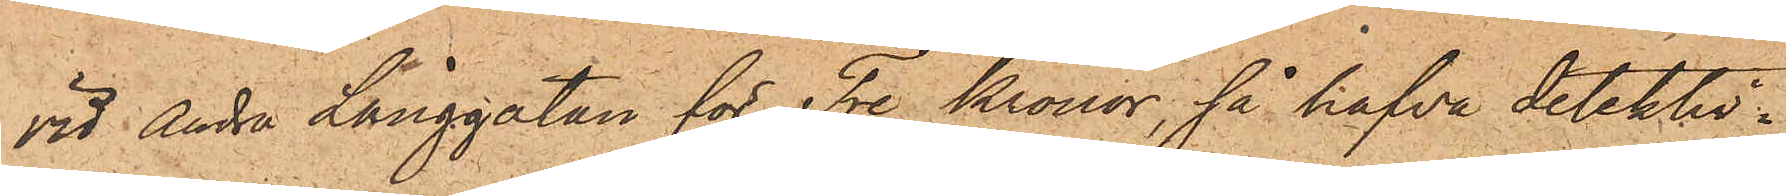vid Andra Långgatan för Tre Kronor, så hafva detektiv¬
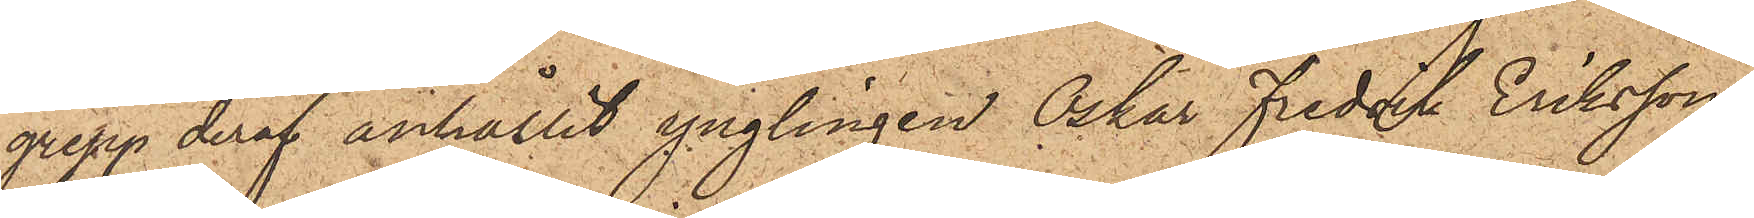grepp deraf anhållit ynglingen Oskar Fredrik Eriksson
